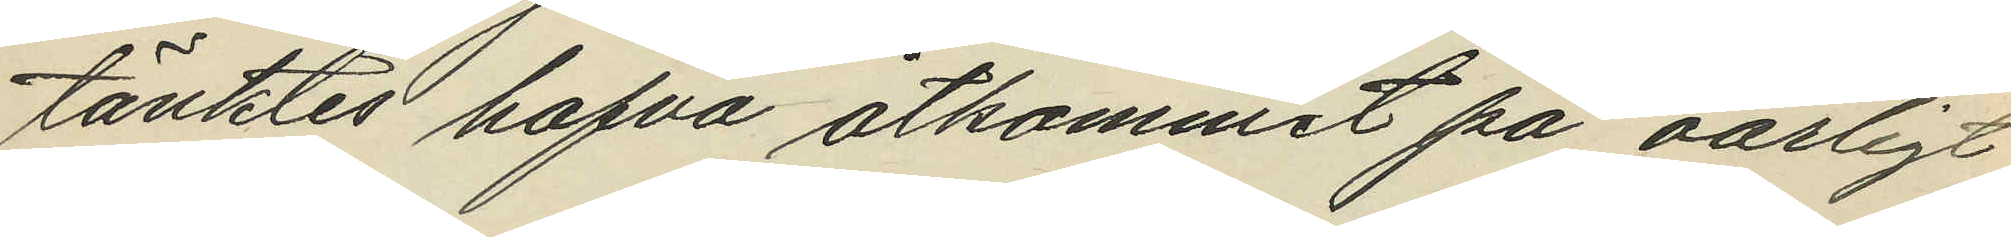tänktes hafva åtkommit på oärligt
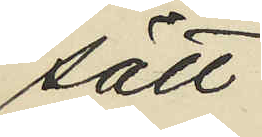sätt.
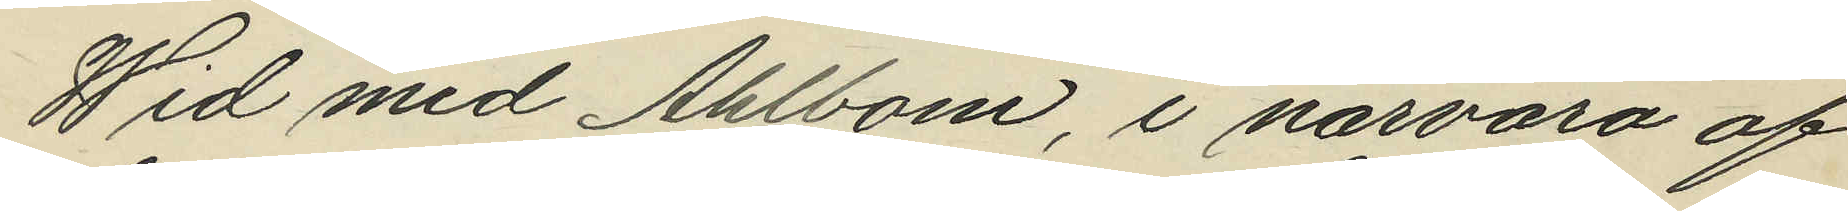Wid med Ahlbom, i närvaro af
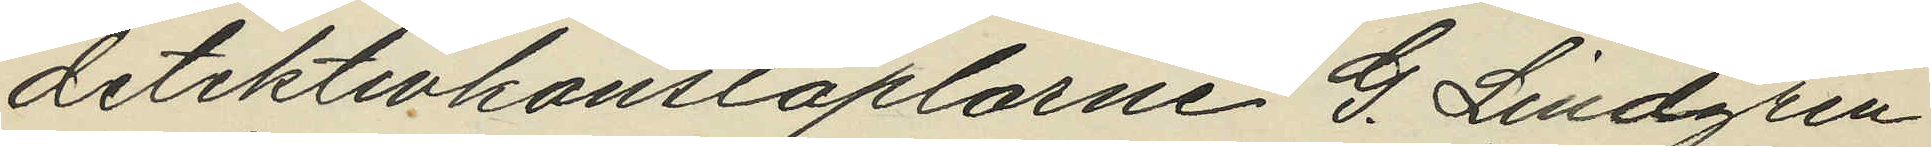detektivkonstaplarne G. Lindgren
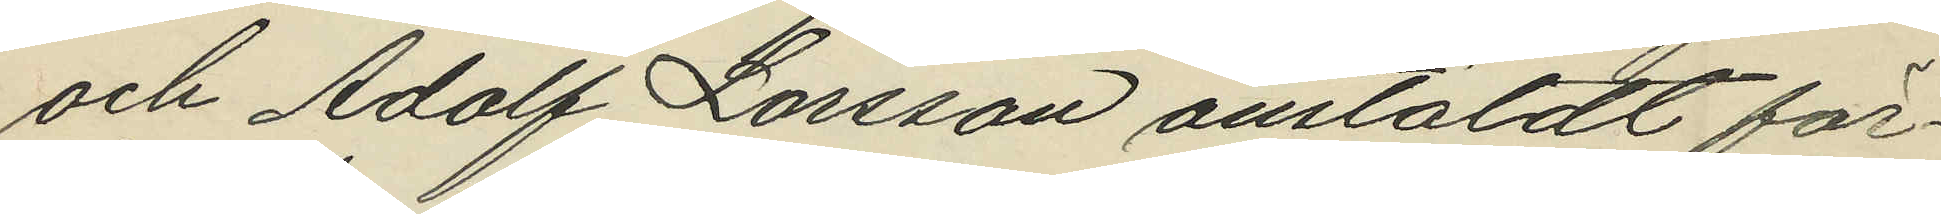och Adolf Larsson anstäldt för¬
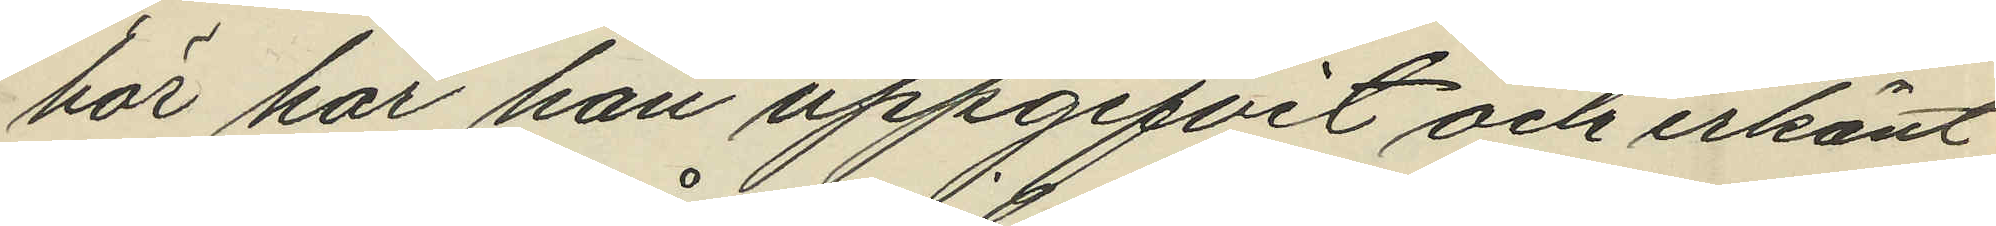hör har han uppgifvit och erkänt
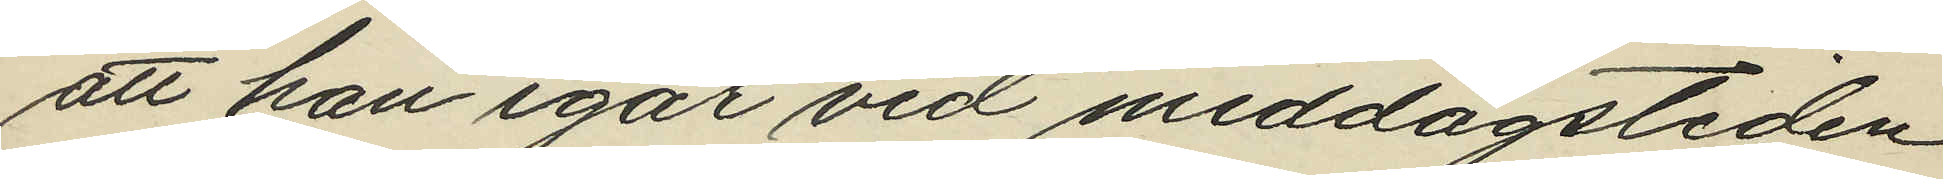att han igår vid middagstiden
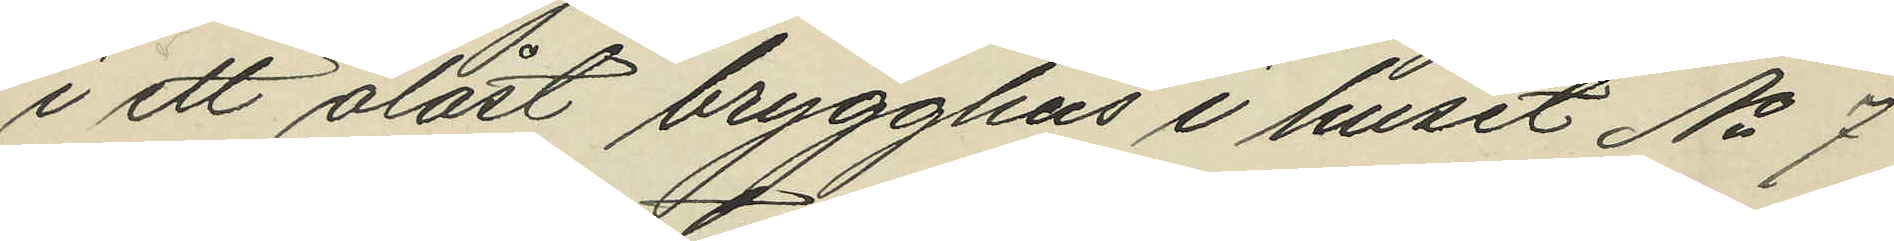i ett olåst brygghus i huset No 7
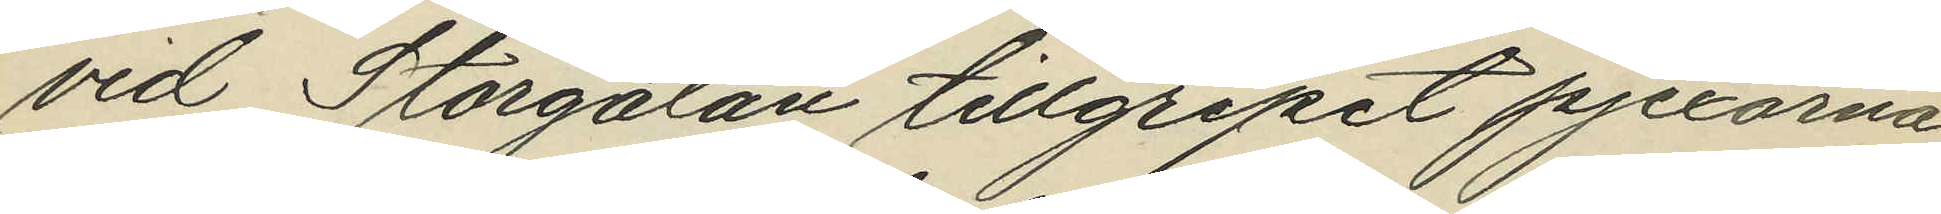vid Storgatan tillgripit pjexorna,
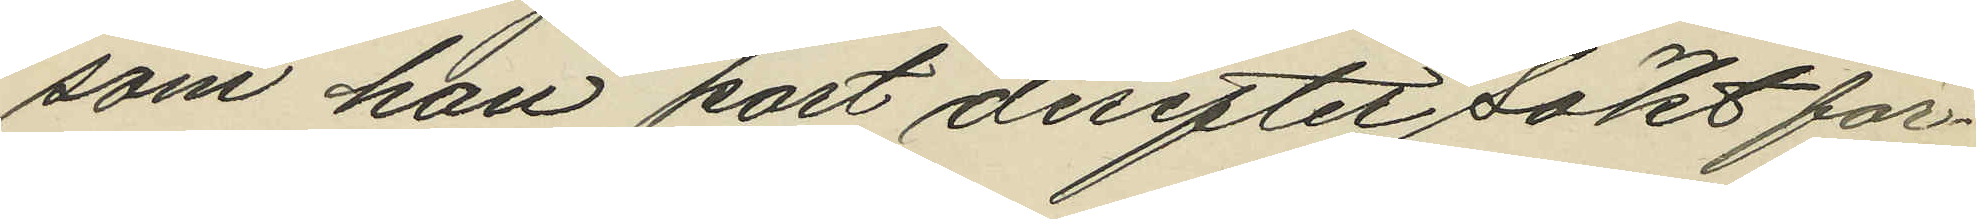som han kort derefter sökt för¬
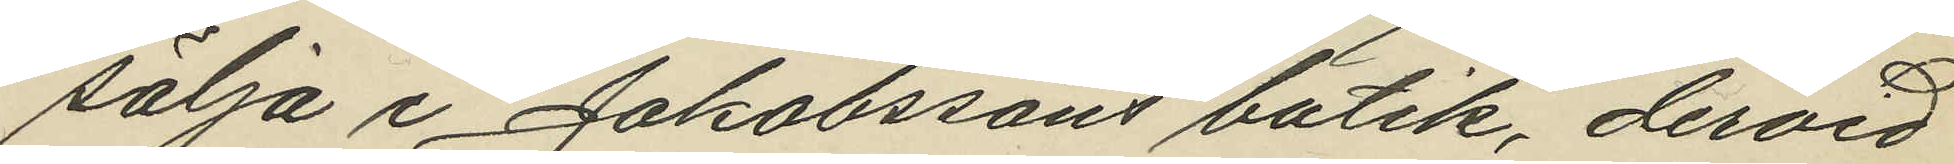sälja i Jakobssons butik, dervid
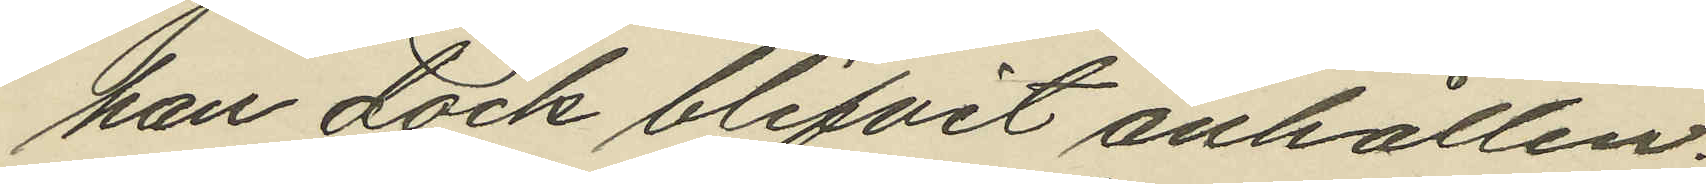han dock blifvit anhållen.
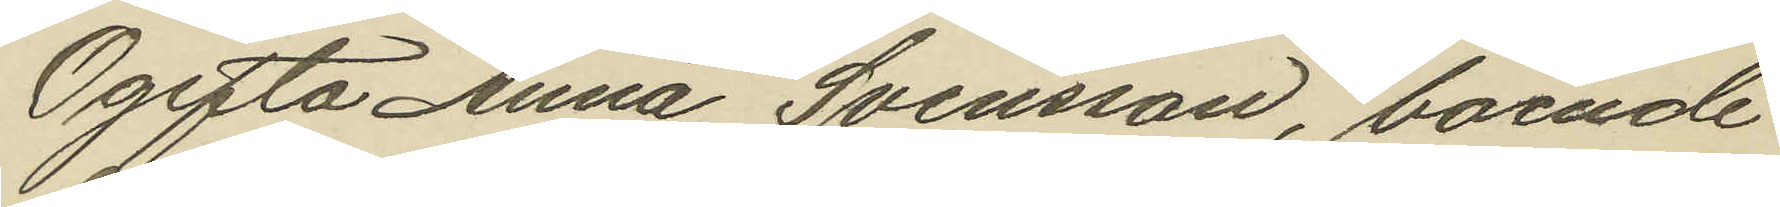Ogifta Anna Svensson, boende
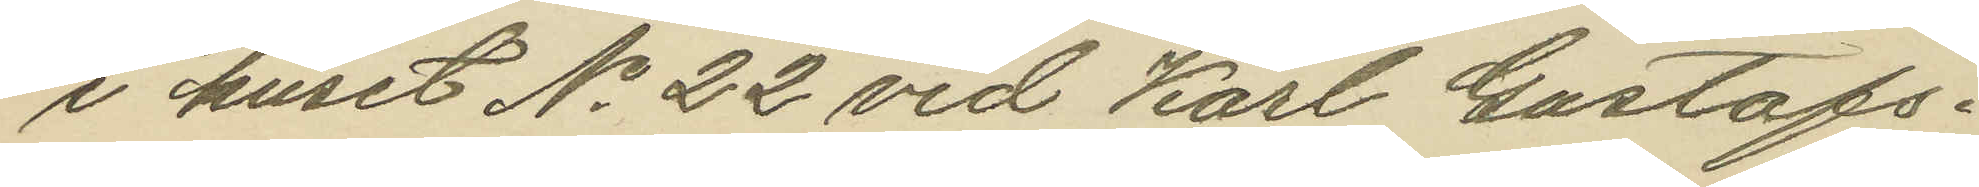i huset No 22 vid Karl Gustafs¬
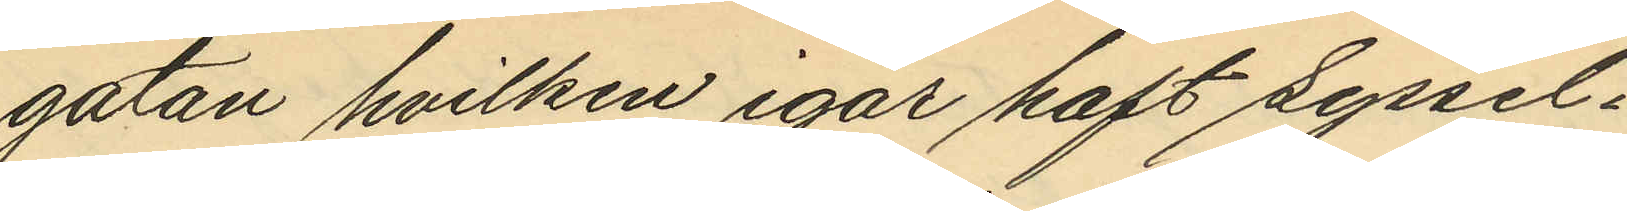gatan hvilken igår haft syssel¬
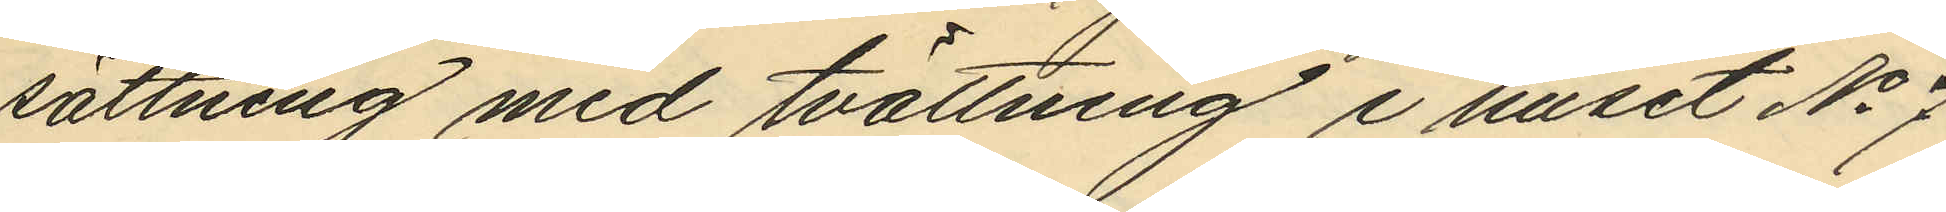sättning med tvättning i huset No 7
